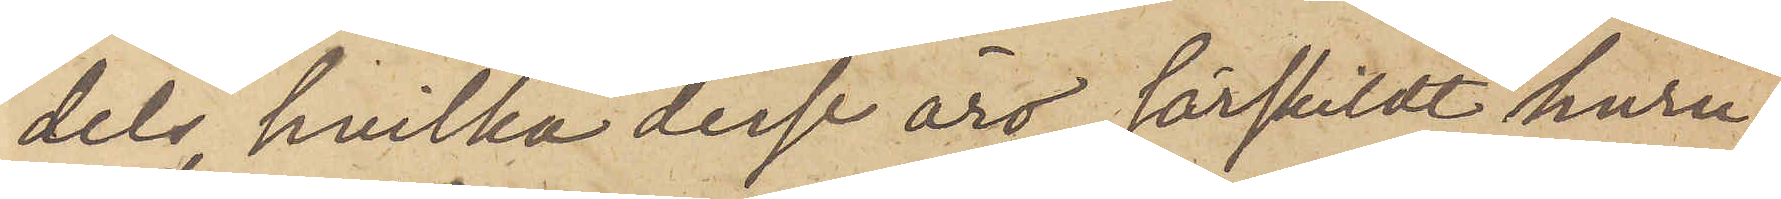dels hvilka desse äro, särskildt huru¬
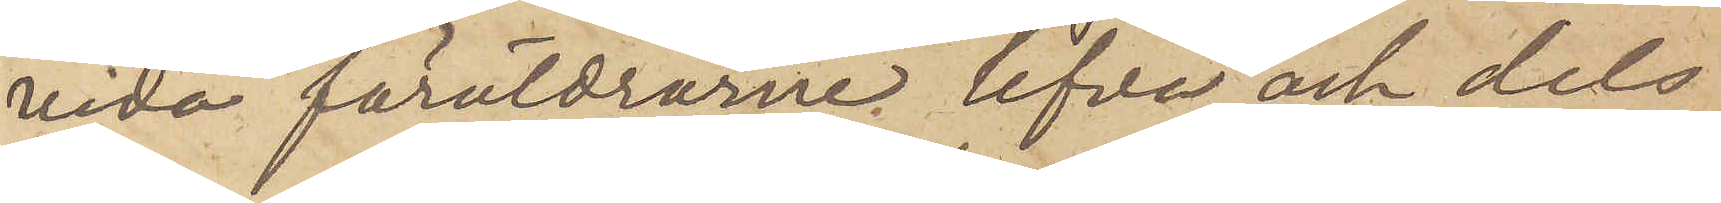vida föräldrarne lefva och dels
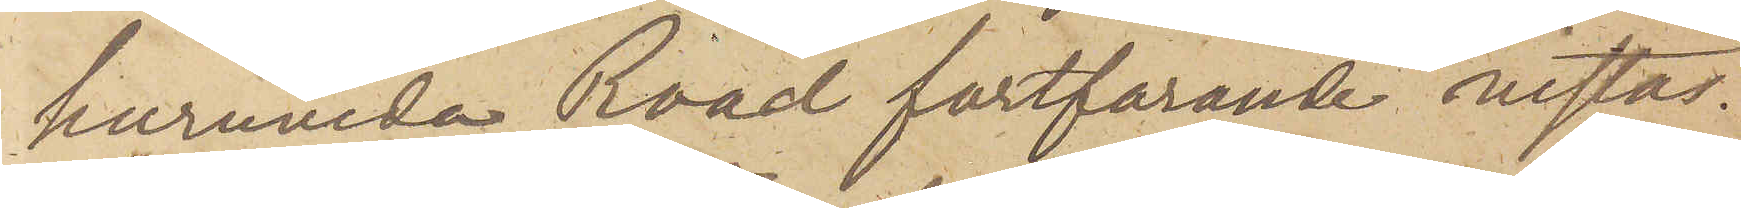huruvida Road fortfarande vistas
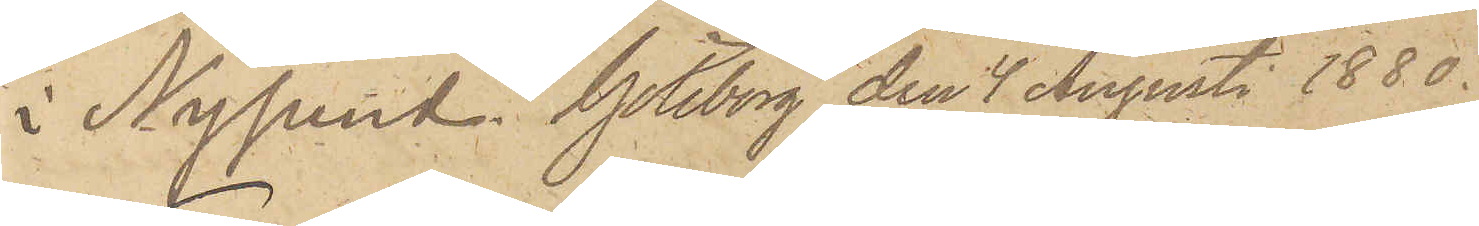i Nysund. Göteborg den 4 Augusti 1880.
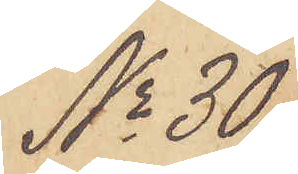No 30
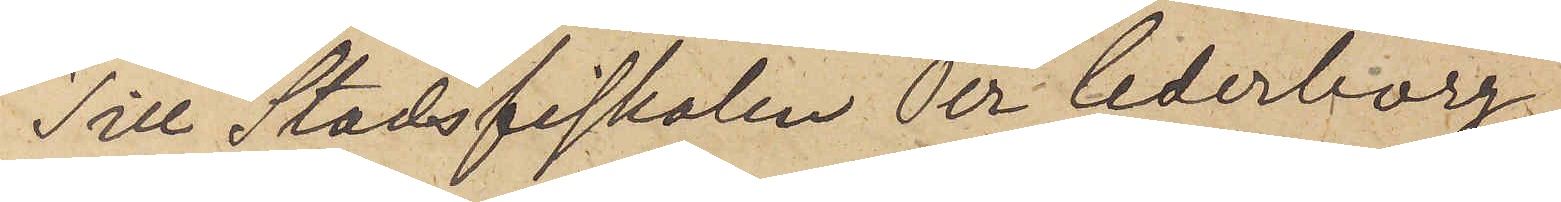Till Stadsfiskalen Per Cederborg.
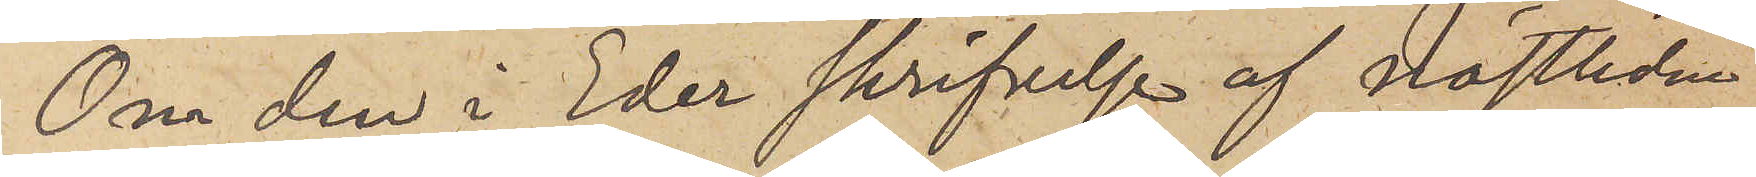Om den i Eder skrifvelse af nästlidne
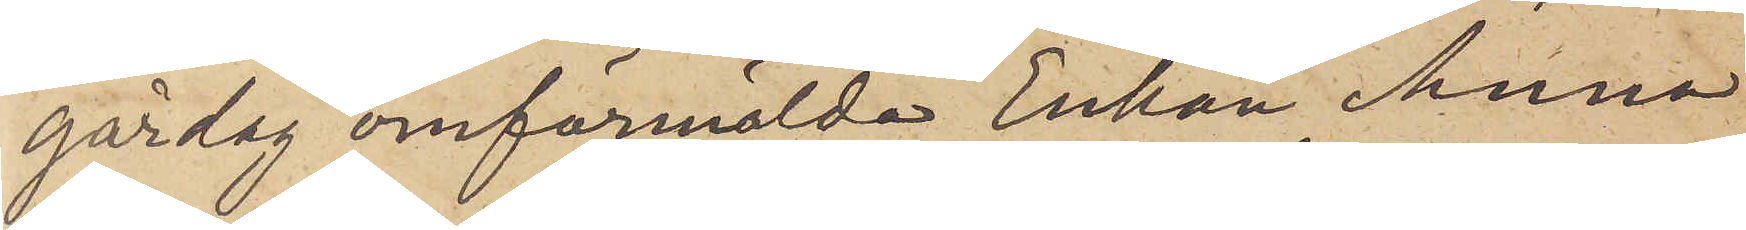gårdag omförmälda Enkan Anna
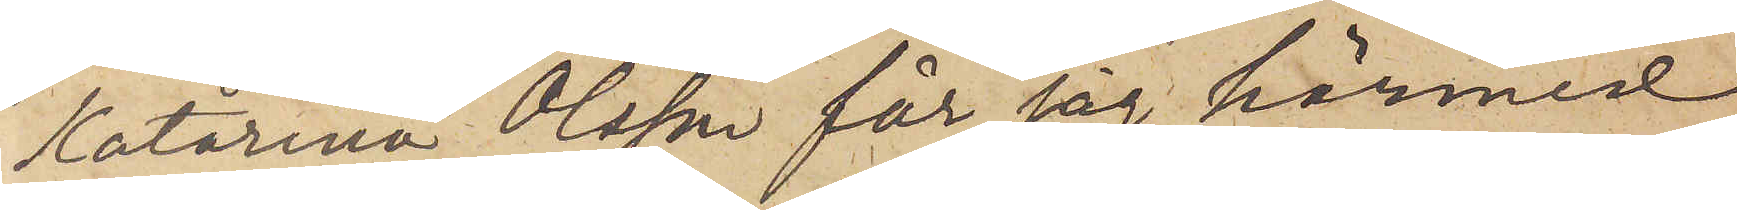Katarina Olsson får jag härmed
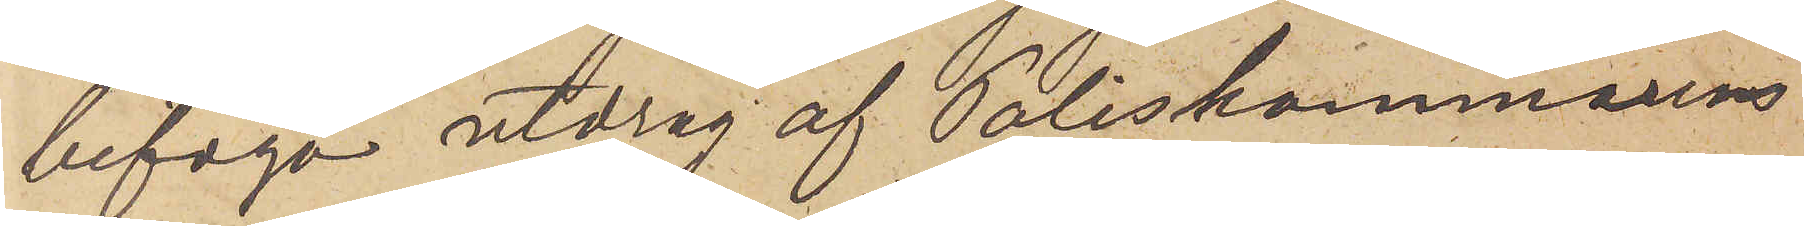bifoga utdrag af Poliskammarens
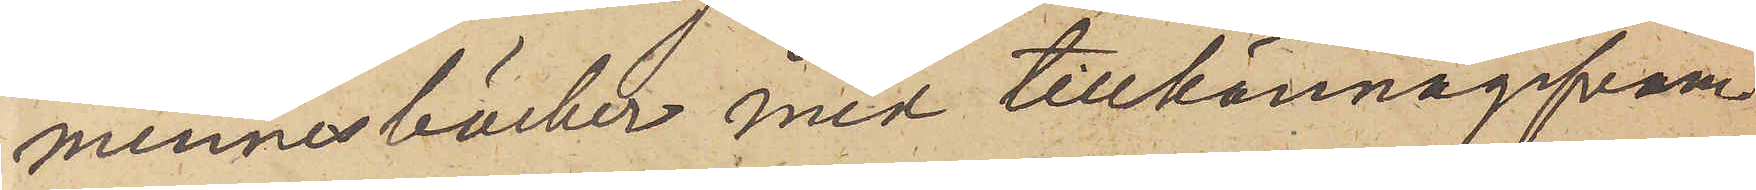minnesböcker med tillkännagifvan¬
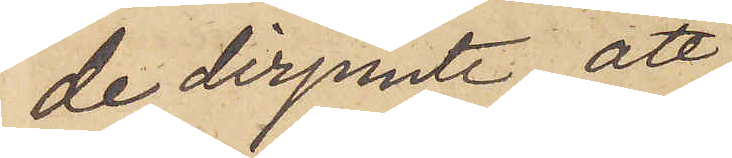de derjemte, att
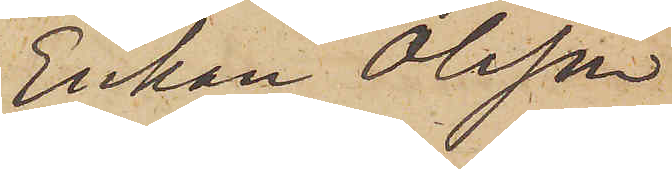Enkan Olsson
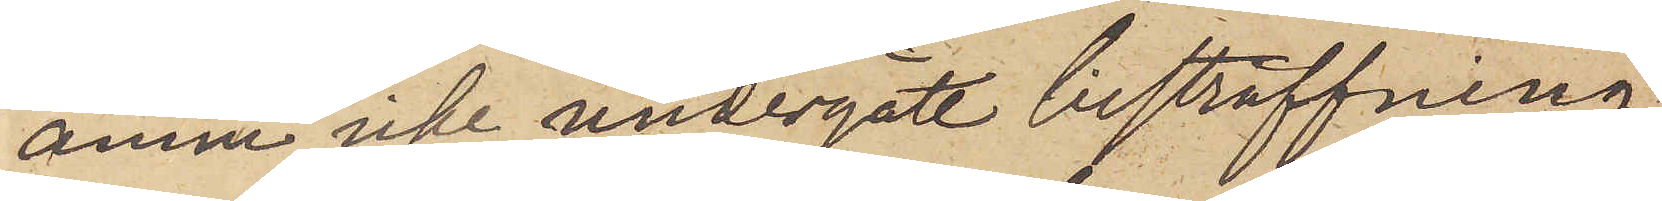ännu icke undergått bestraffning
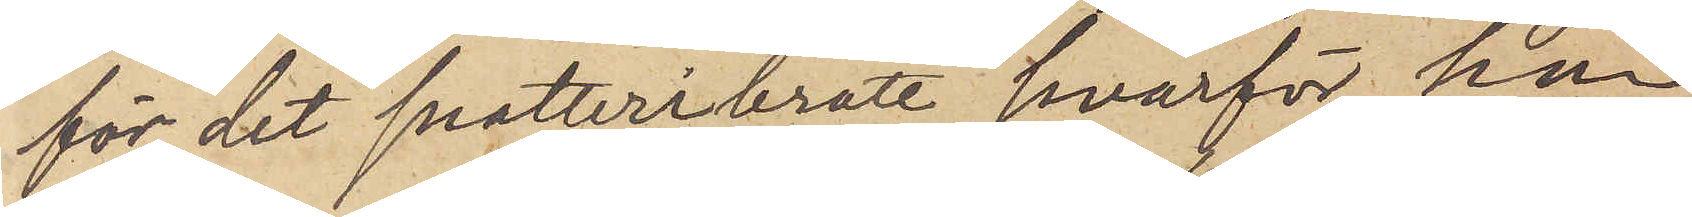för det snatteribrott, hvarför hon
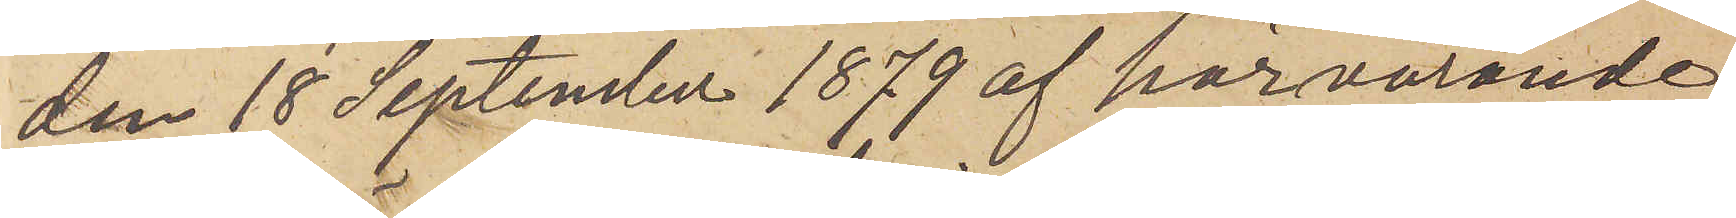den 18 September 1879 af härvarande
